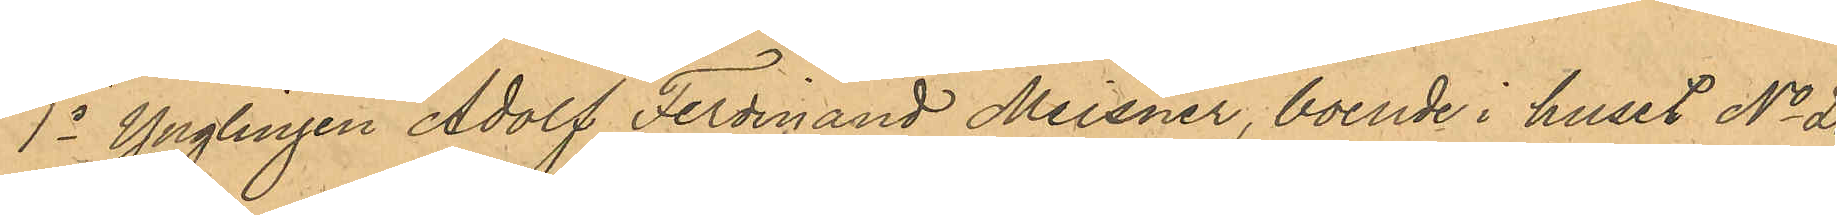1o Ynglingen Adolf Ferdinand Meisner, boende i huset No 20
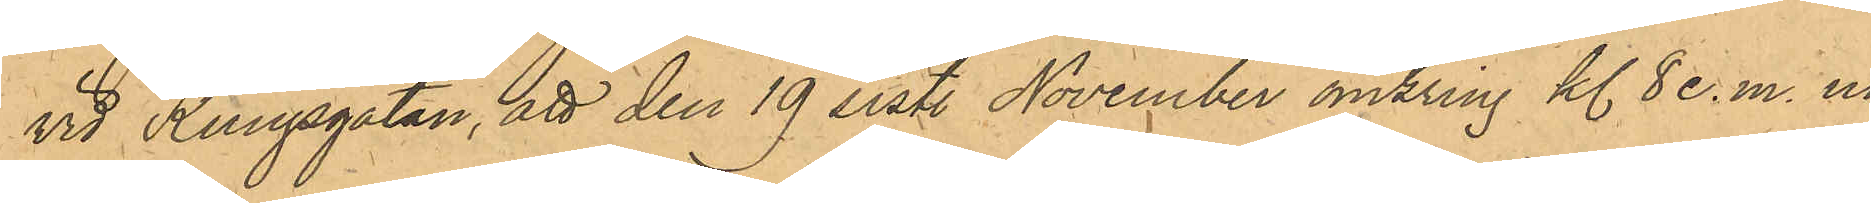vid Kungsgatan, att den 19 sistl. November omkring kl 8 e.m. un¬
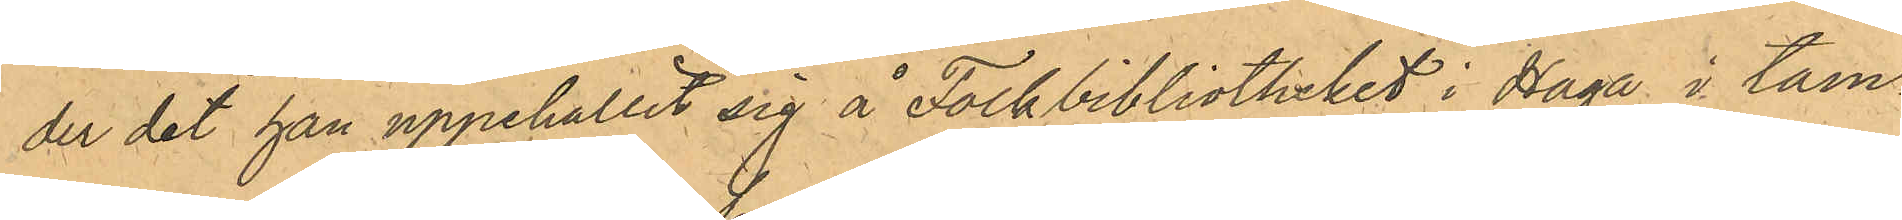der det han uppehållit sig å Folkbibliotheket i Haga i tam¬
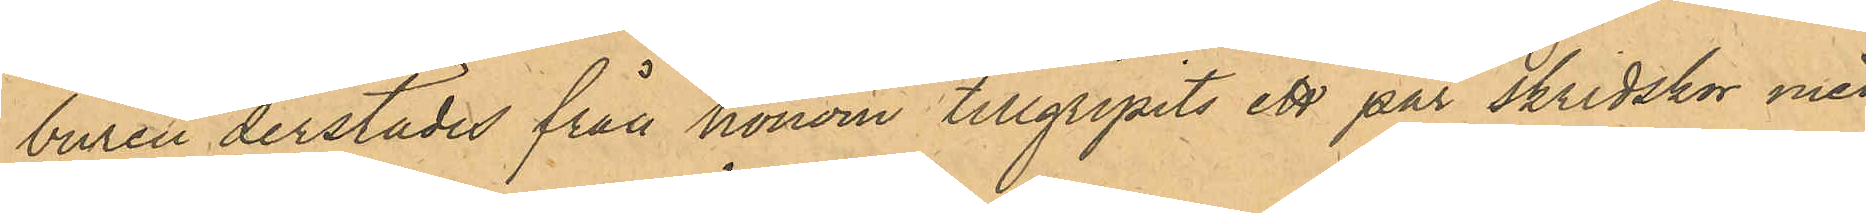buren derstädes från honom tillgripits ett par skridskor med
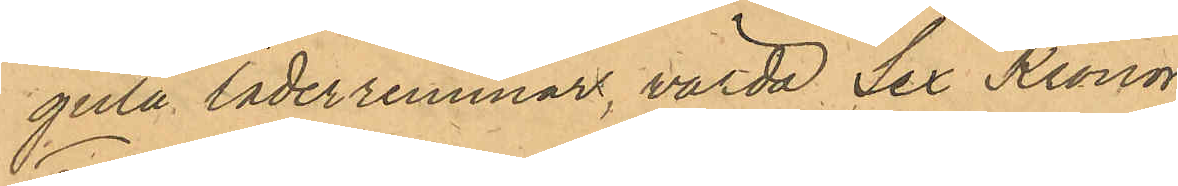gula läderremmar, värda Sex Kronor;
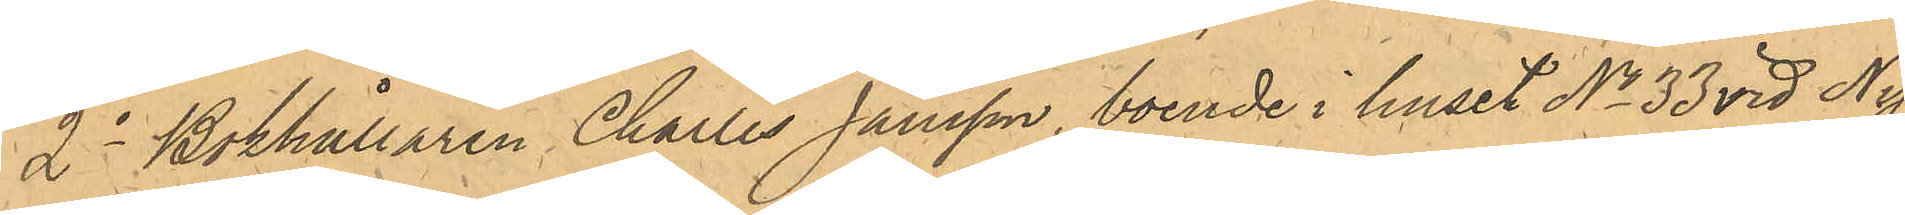2o Bokhållaren Charles Jansson, boende i huset No 33 vid Ny¬
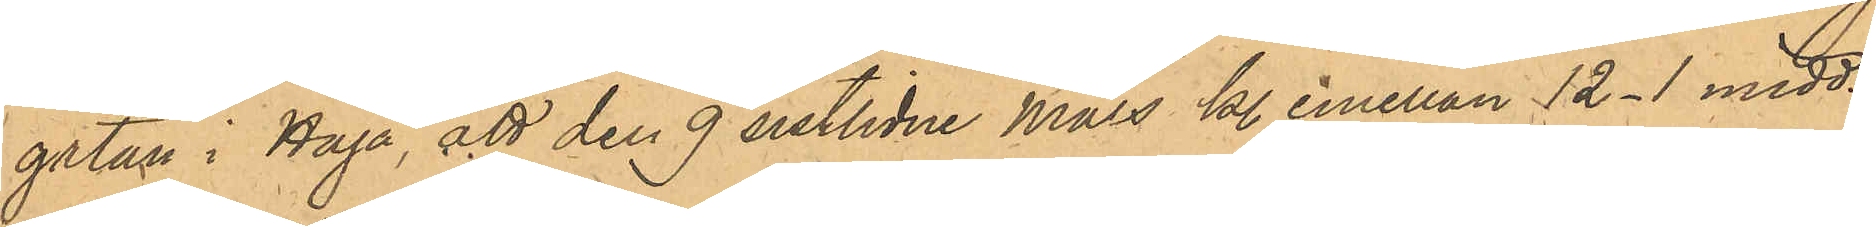gatan i Haga, att den 9 sistlidne Mars kl. emellan 12-1 midd. i
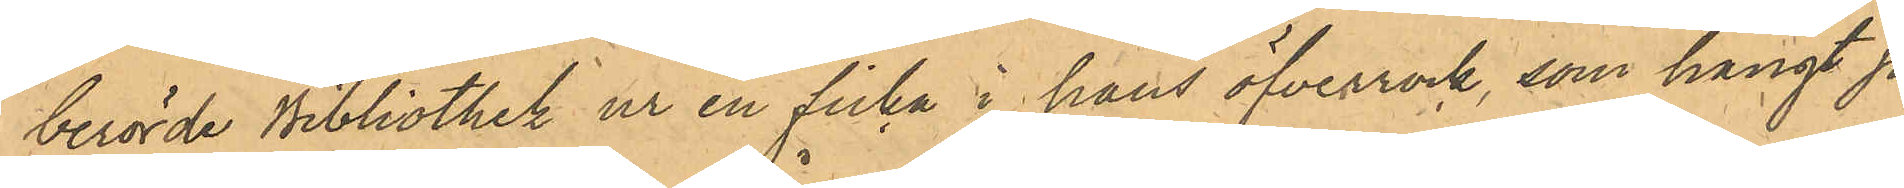berörde Bibliothek ur en ficka i hans öfverrock, som hängt på
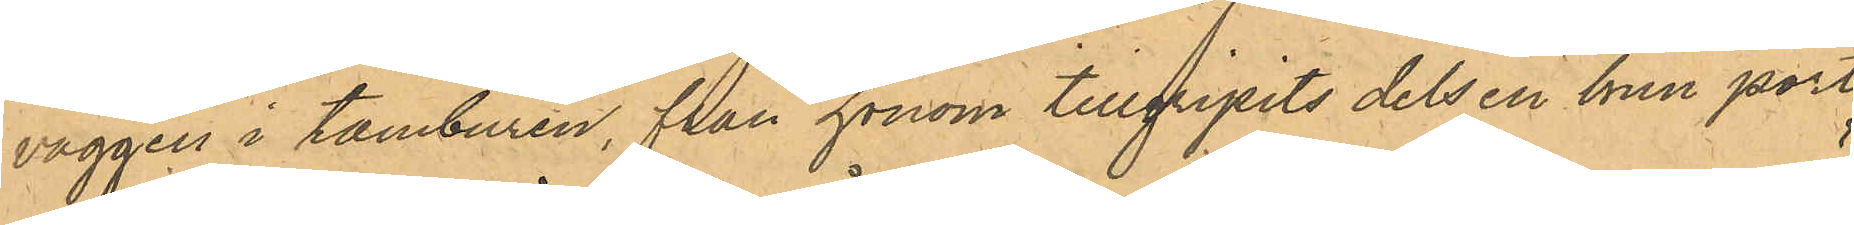väggen i tamburen, från honom tillgripits dels en brun port¬
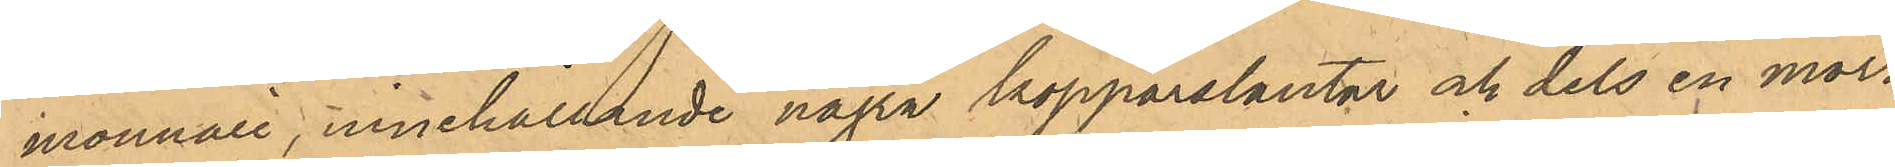monnaie, innehållande några kopparslantar och dels en mörk¬
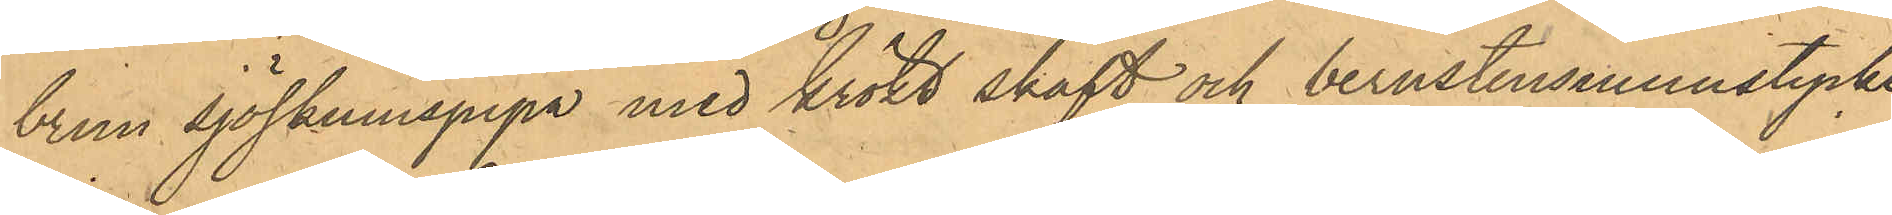brun sjöskumspipa med krökt skaft och bernstensmunstycke,
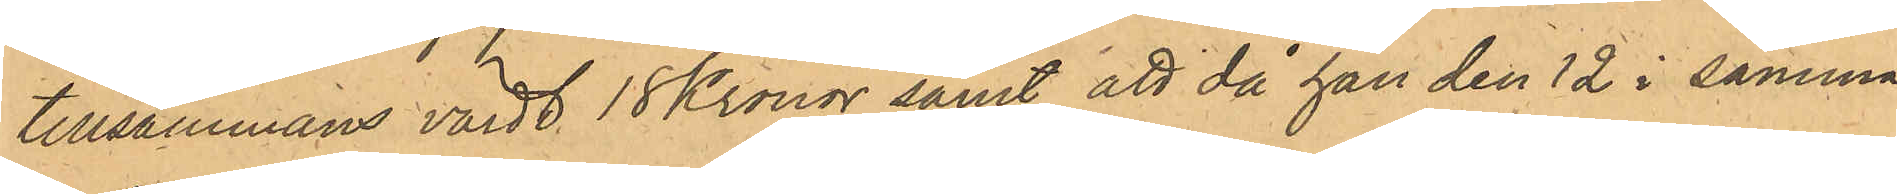tillsammans värdt 18 Kronor samt att då han den 12 i samma
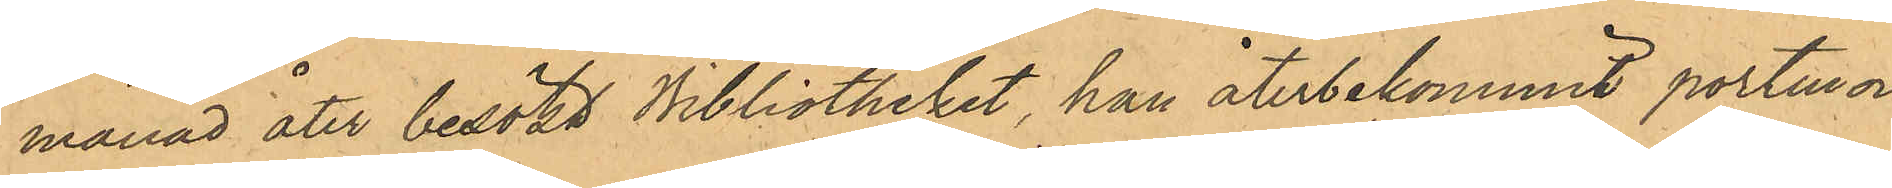månad åter besökt Bibliotheket, han återbekommit portmon¬
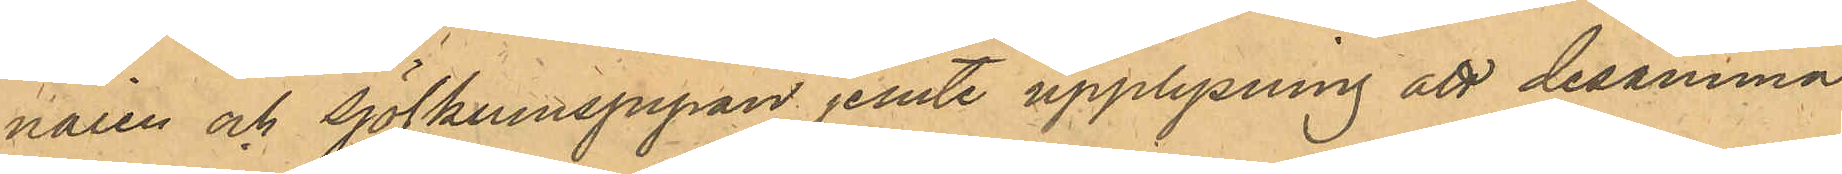naien och sjöskumspipan jemte upplysning att desamma
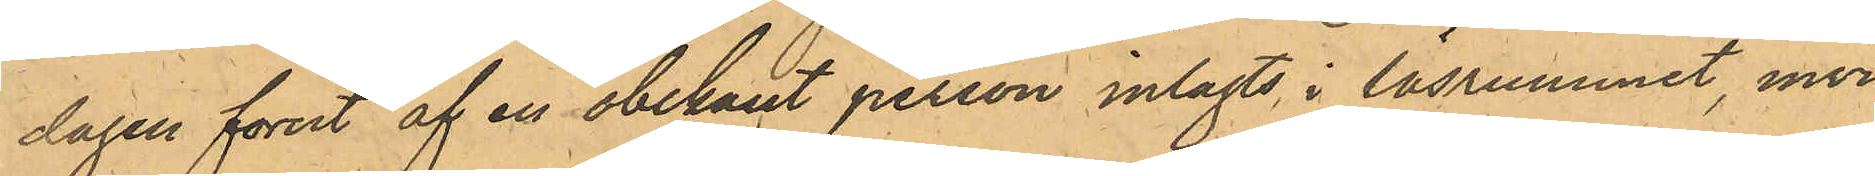dagen förut af en obekant person inlagts i läsrummet, invi¬
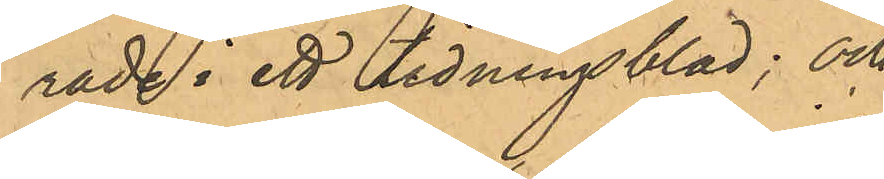rade i ett tidningsblad; och
